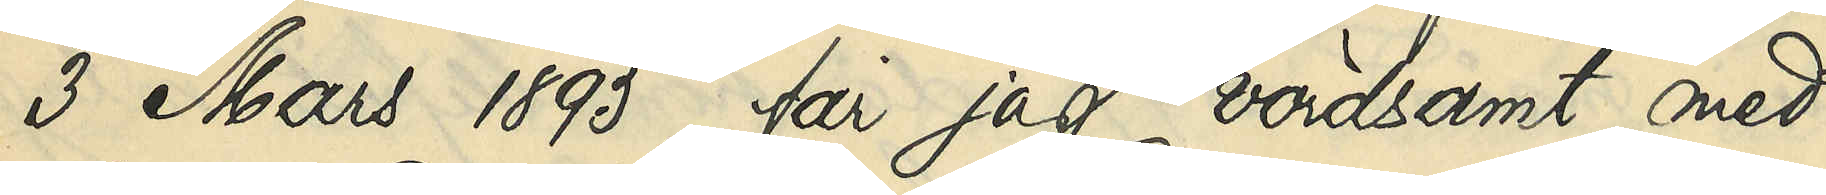3 Mars 1895, får jag vördsamt med¬
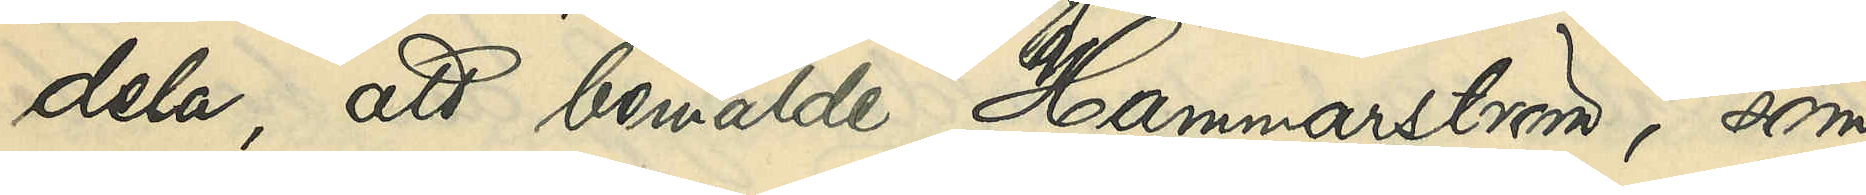dela, att bemälde Hammarström, som
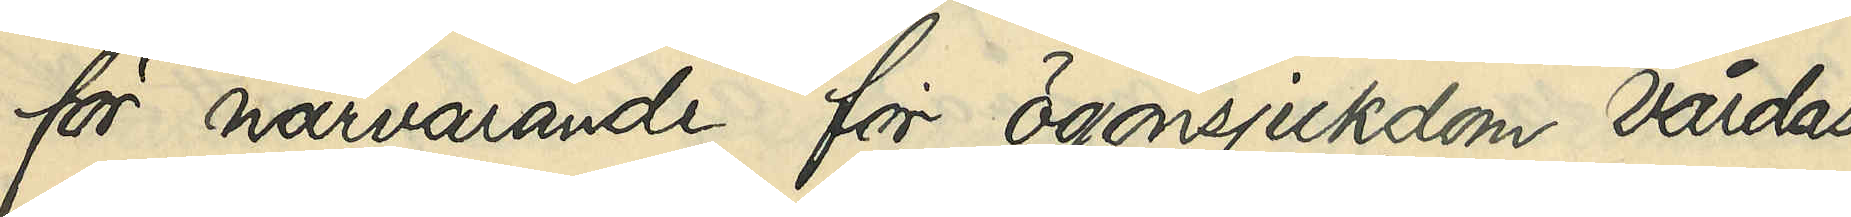för närvarande för ögonsjukdom vårdas
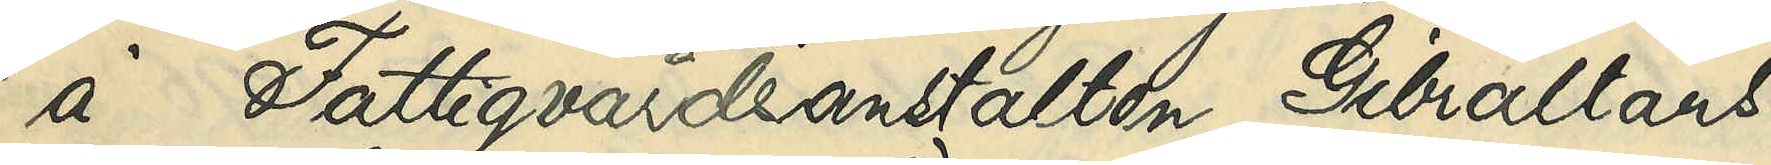å Fattigvårdsanstalten Gibraltars
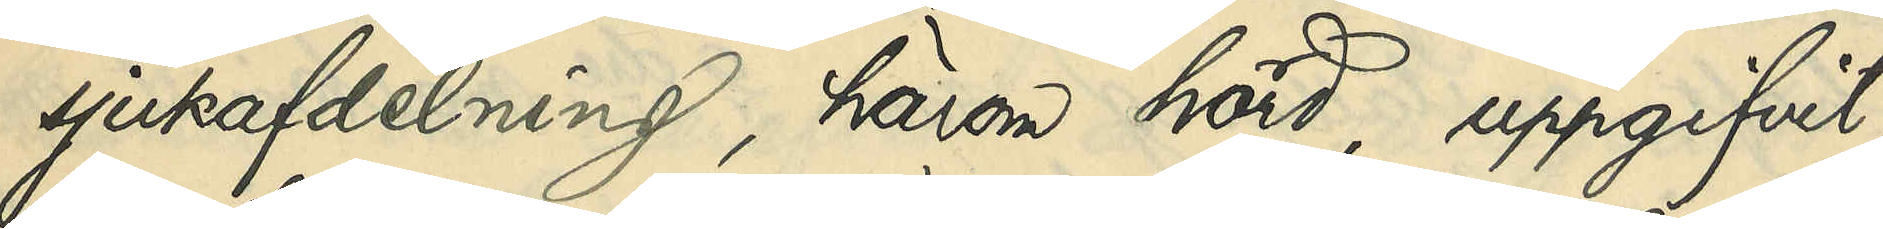sjukafdelning, härom hörd, uppgifvit,
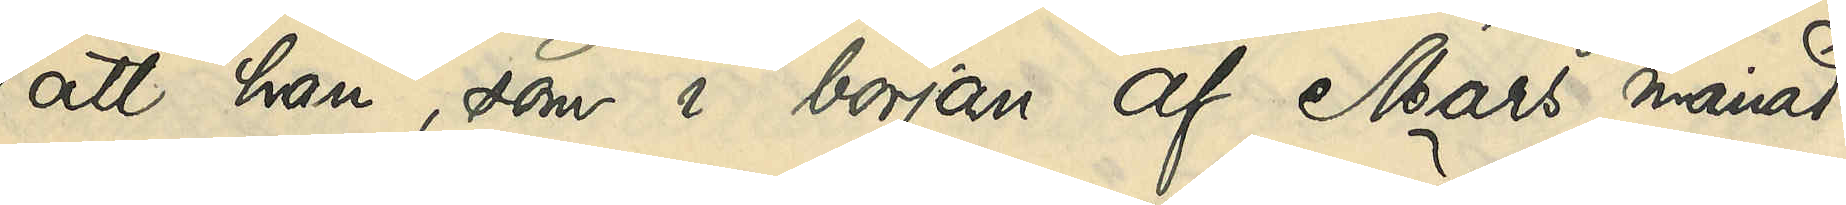att han som i början af Mars månad
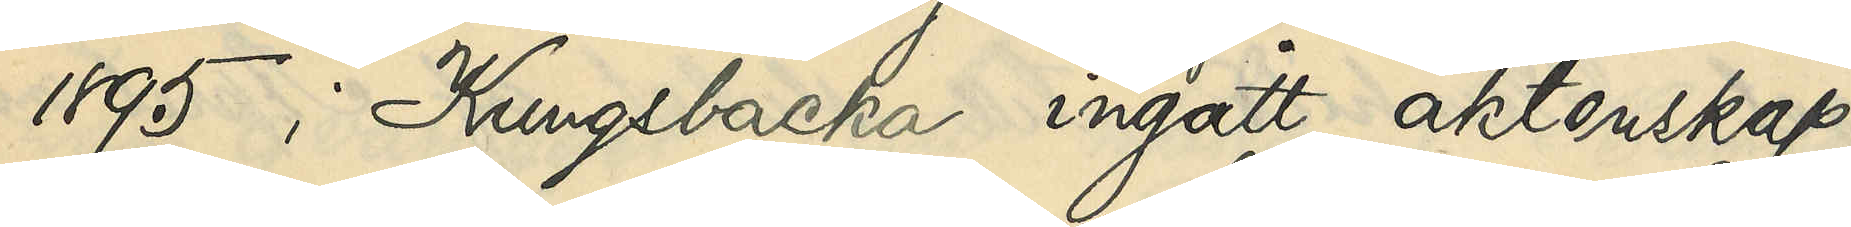1895 i Kungsbacka ingått äktenskap
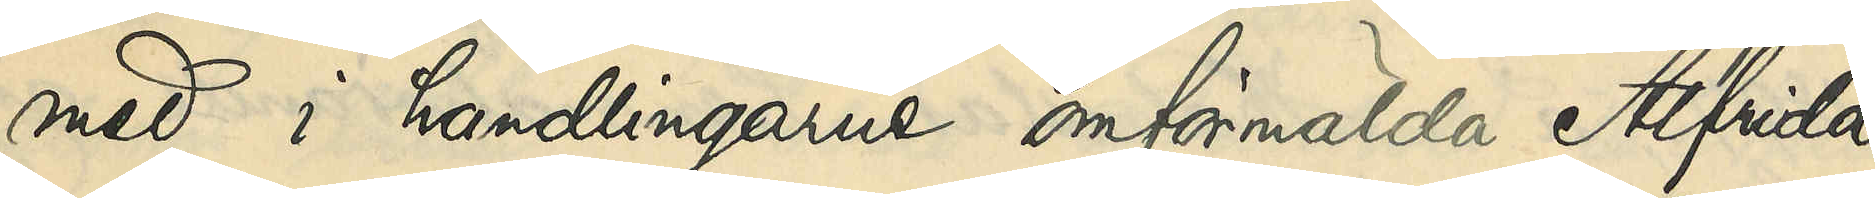med i handlingarne omförmälda Alfrida
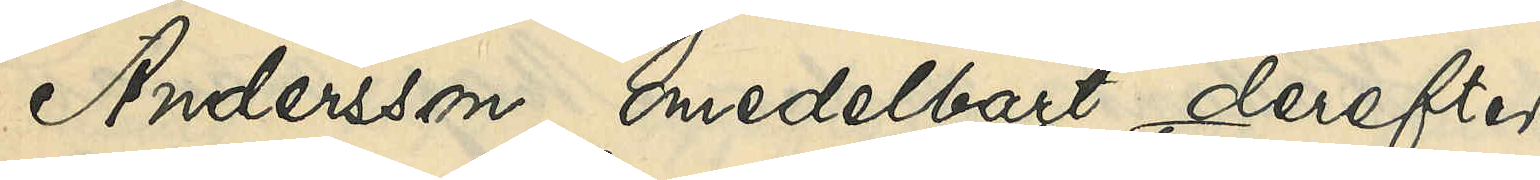Andersson, omedelbart derefter
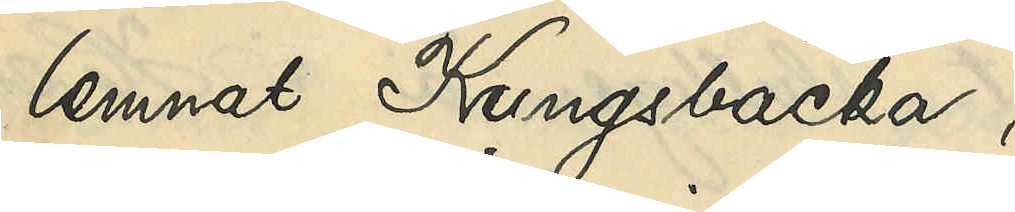lemnat Kungsbacka,
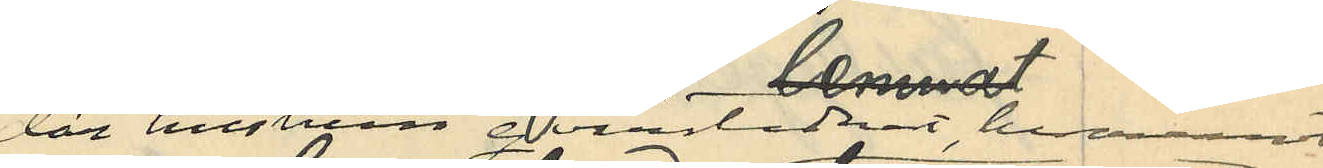där hustrun qvarstannat, hvaremot
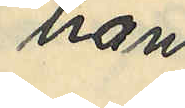han
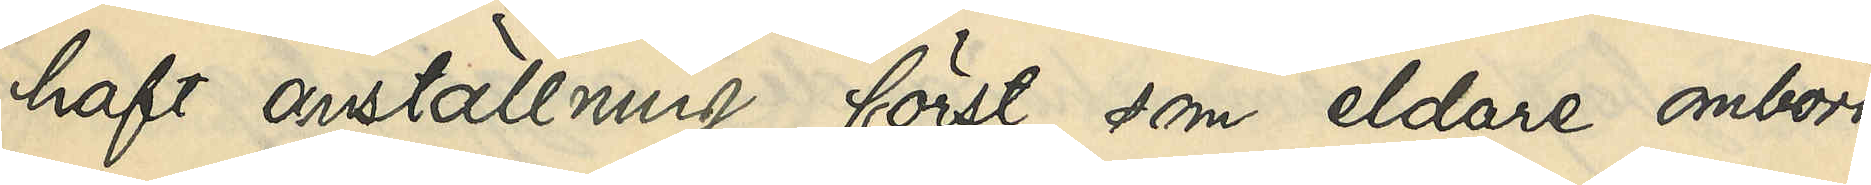haft anställning först som eldare ombord
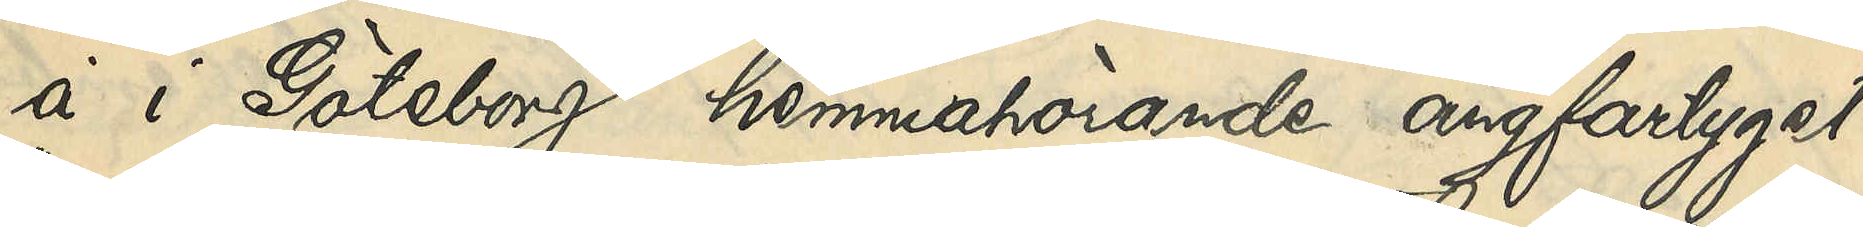å i Göteborg hemmahörande ångfartyget
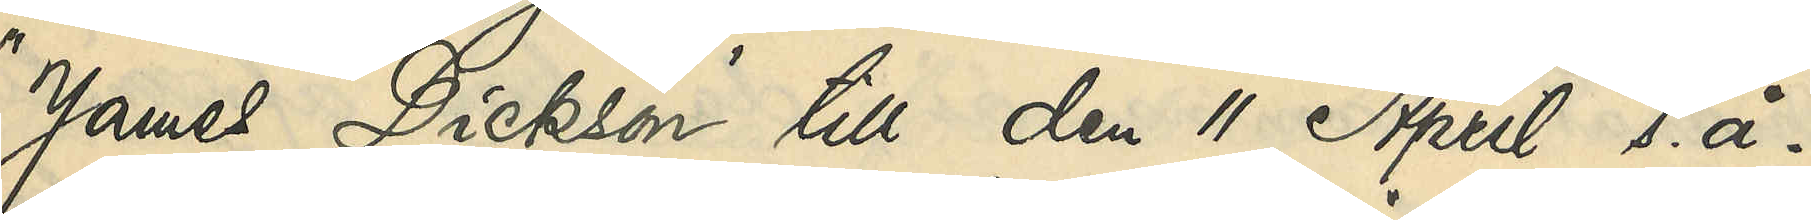"James Dickson" till den 11 April s. å. 
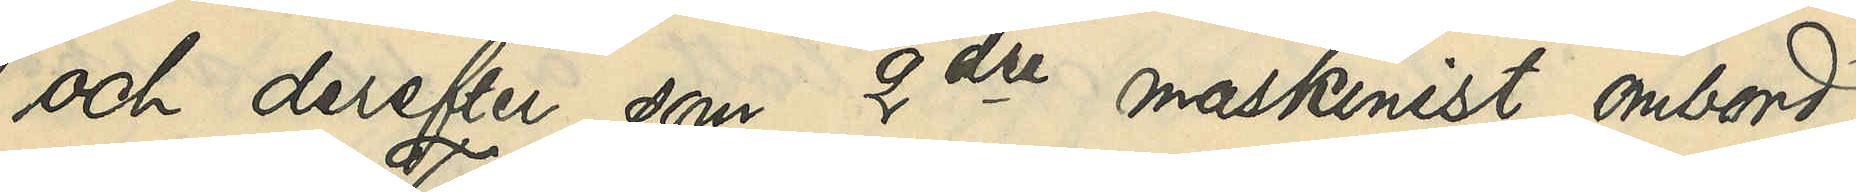och derefter som 2dre maskinist ombord
